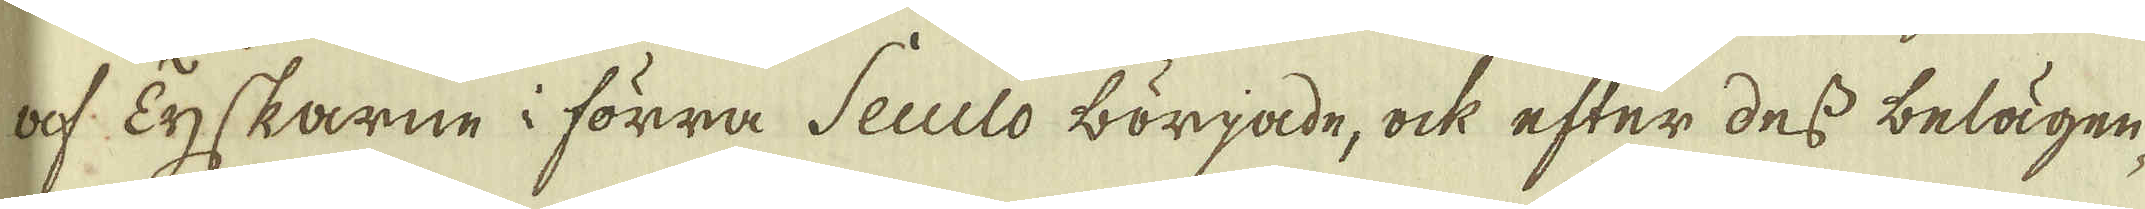af Tyskarne i förra Seculo började, ock efter des belägen-
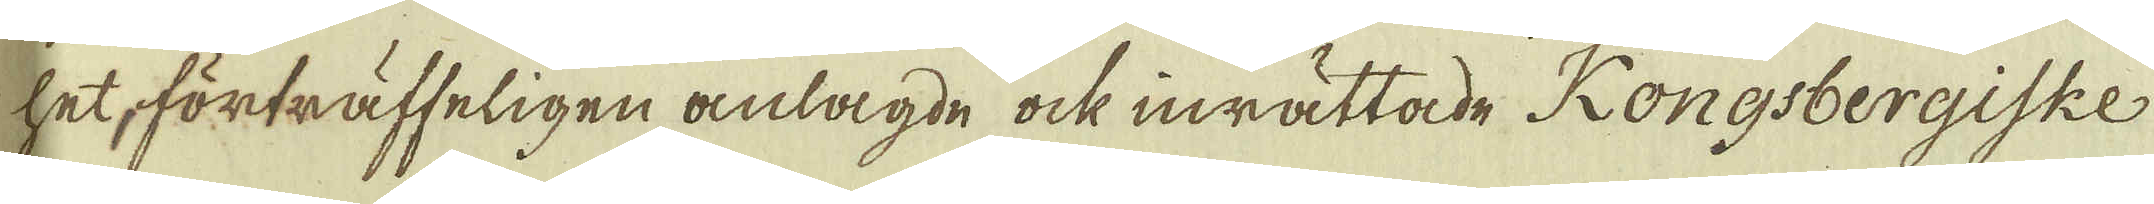het, förträffeligen anlagde ock inrättade Kongsbergiske
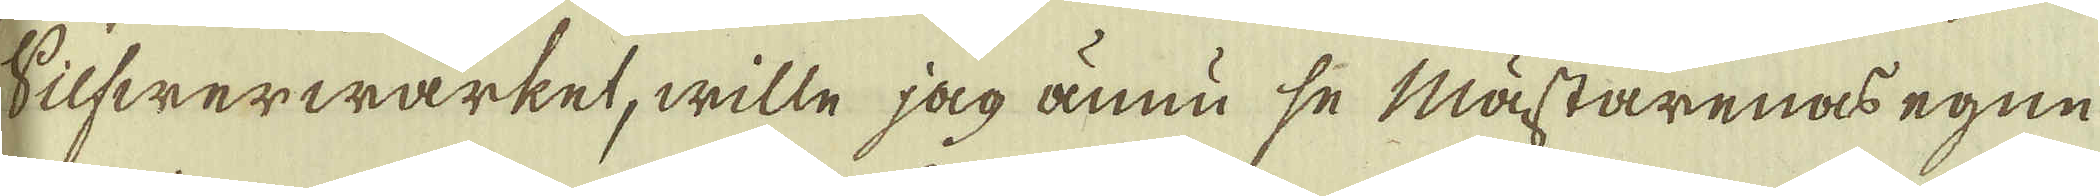Silfwerwärket, wille jag ännu se mästarenas egne
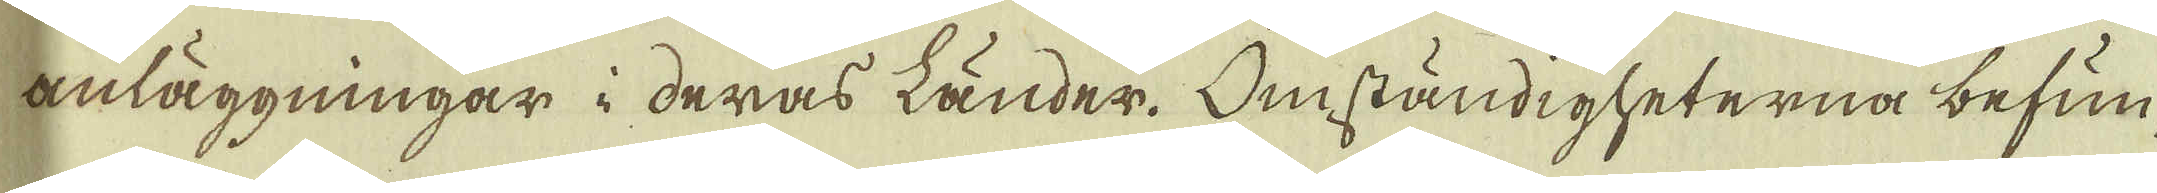anläggningar i deras länder. Omständigheterna befun-
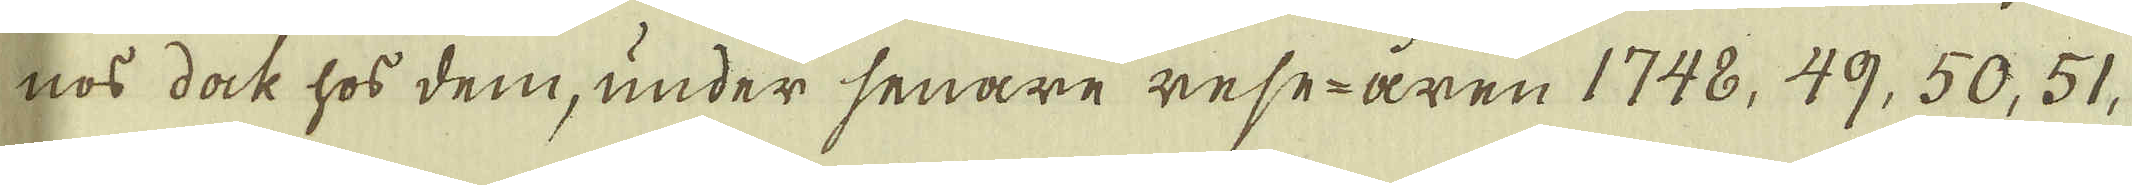nos dock hos dem, under senare resåren 1748, 49, 50, 51.
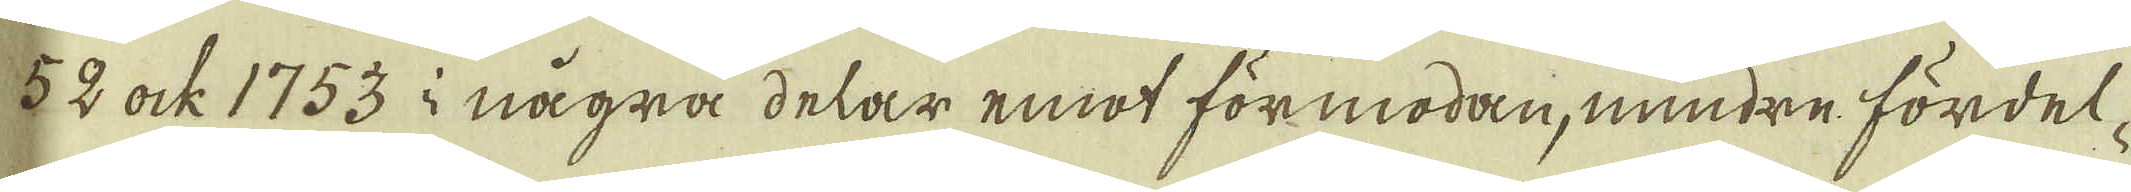52 ock 1753 i några delar emot förmodan, mindre fördel-
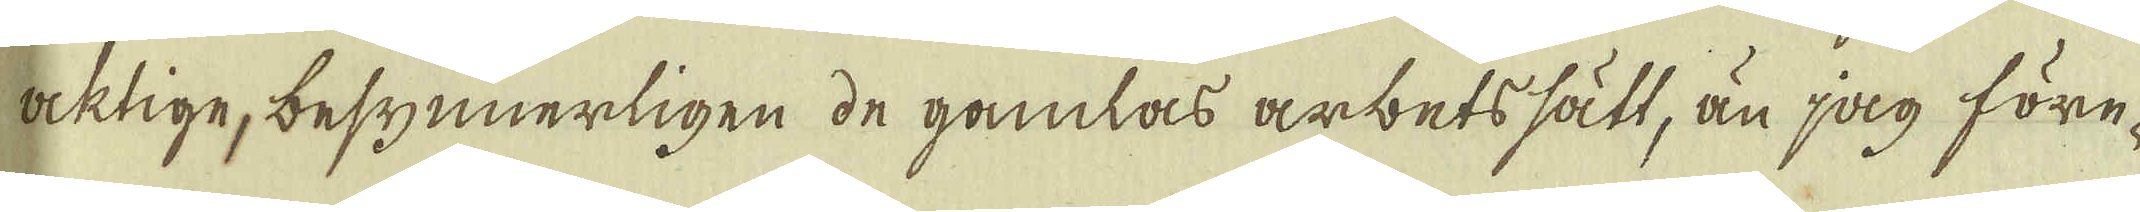acktige, besynnerligen de gamlas arbetssätt, än jag före-
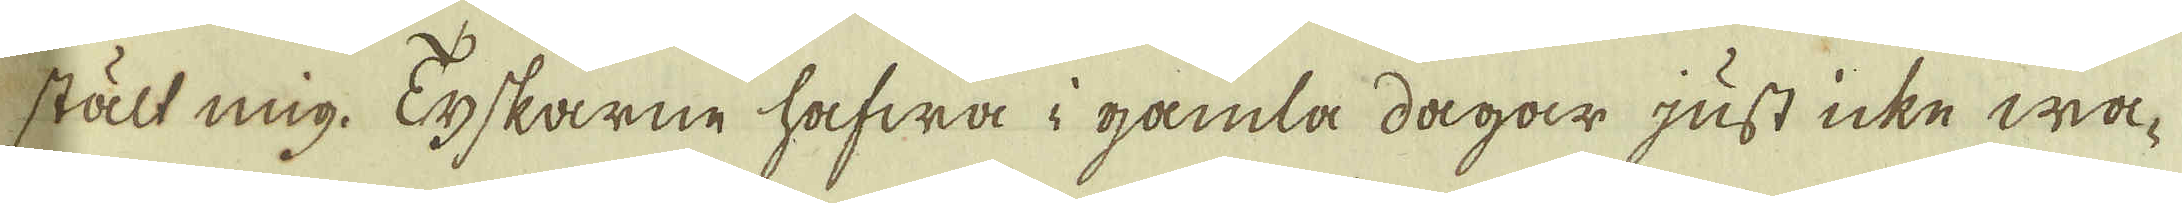stält mig. Tyskarne hafwa i gamla dagar just icke wa-
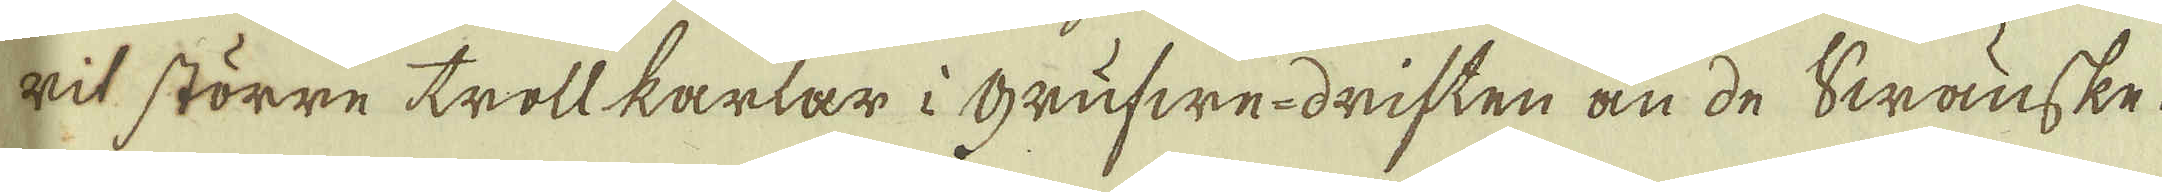rit större trollkarlar i grufwerdriften än de Swänske.
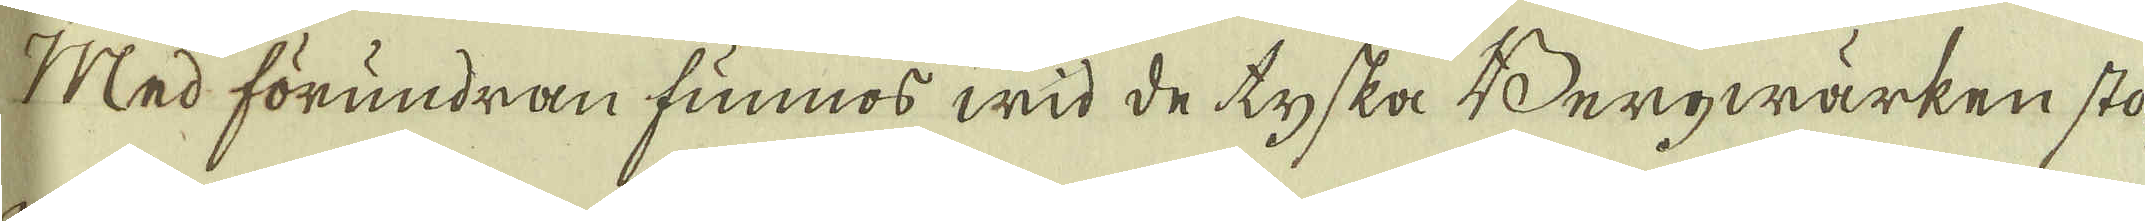Med förundran funnos wid de tyska Berqwarken sto-
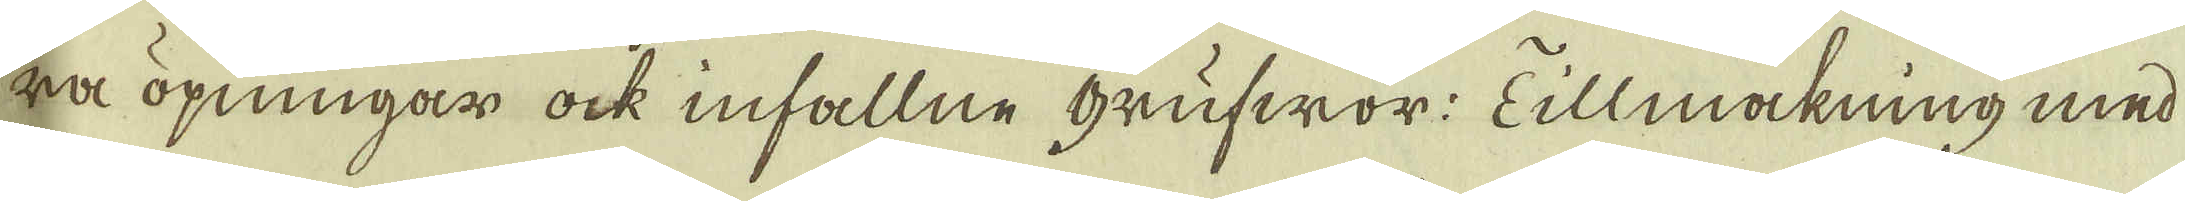ra öpningar ock infallne Grufwor: Tillmakning med
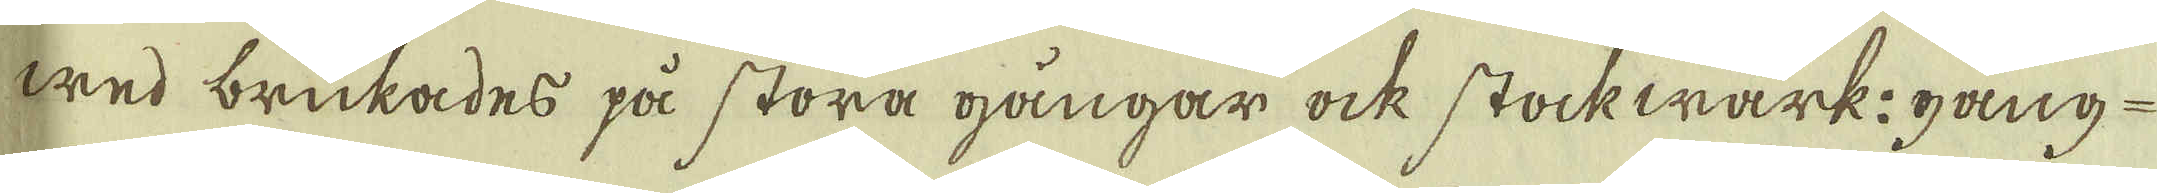wed brukades på stora gångar ock Stockwärk: gång-
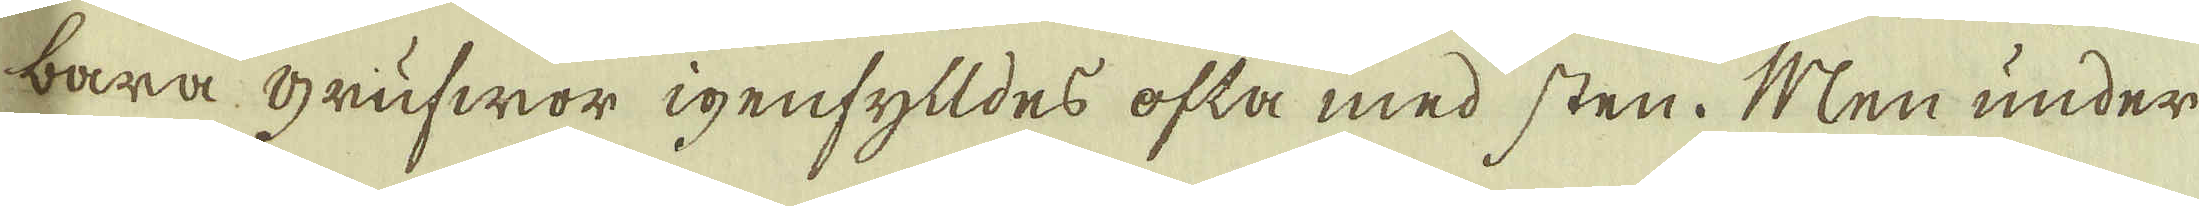bara Grufwor igenfylldes ofta med sten. Men under
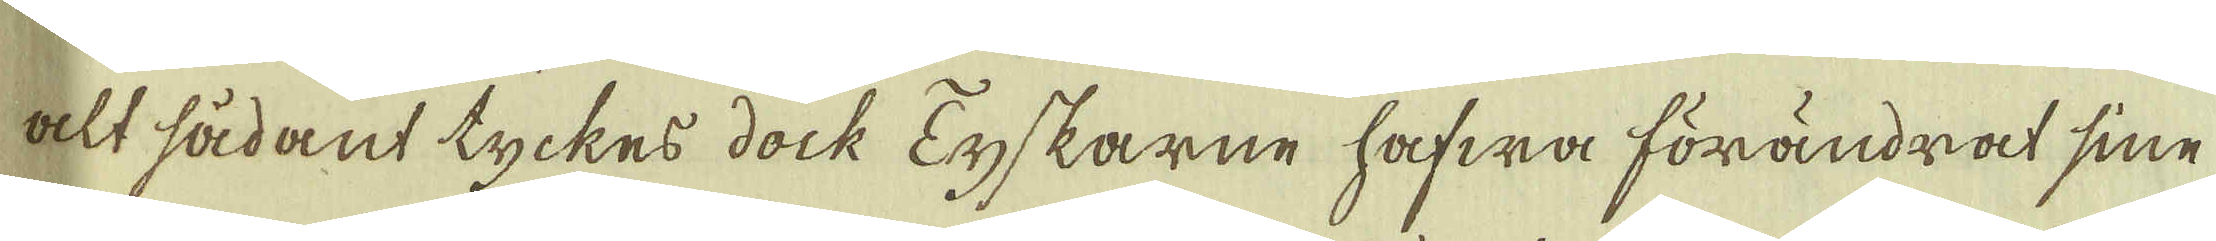alt sådant tyckes doch Tyskarne hafwa förändrat sine
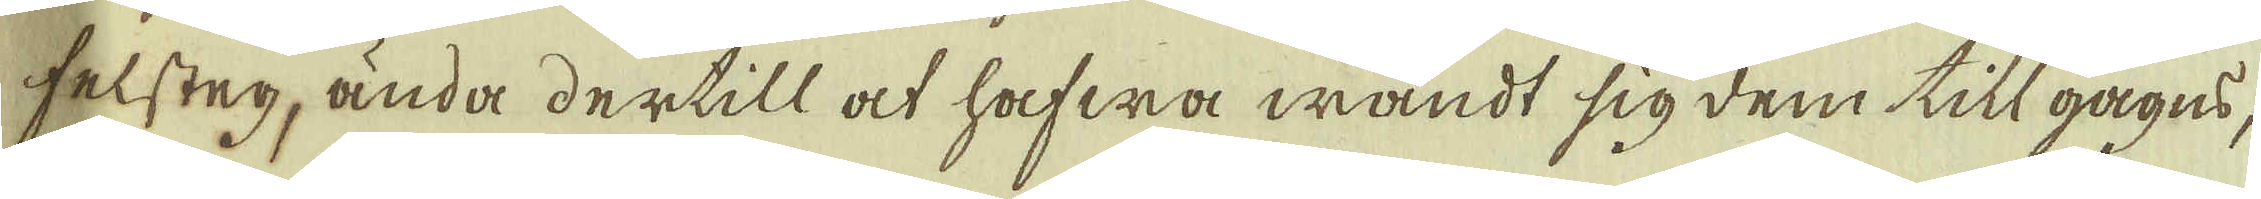felsteg, ända dertill at hafwa wändt sig dem till gagns,
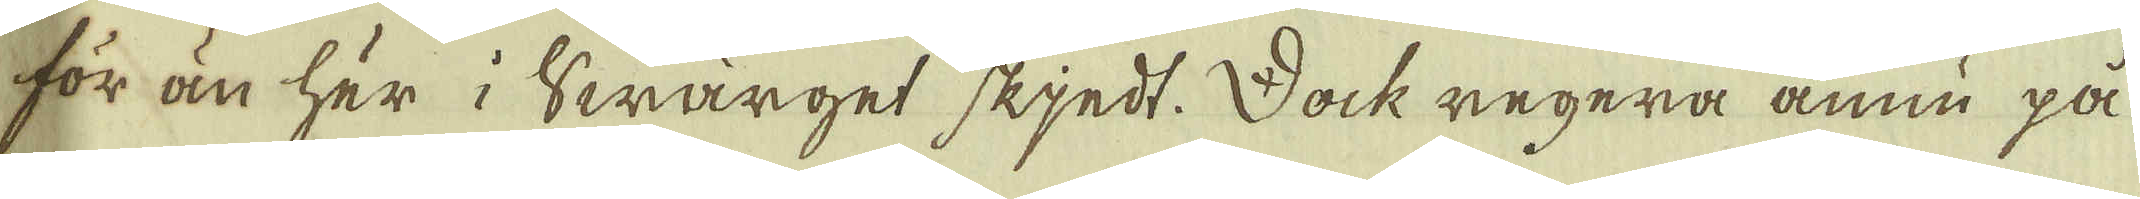för än här i Swärget skjedt. Dock regera ännu på
